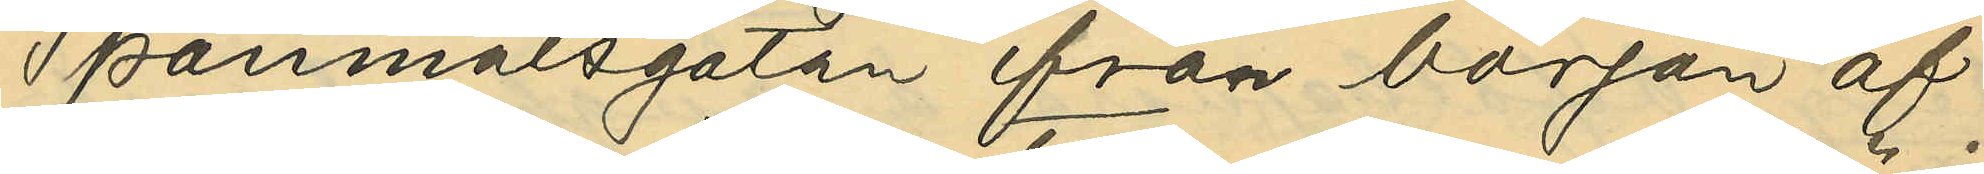Spannmålsgatan från början af
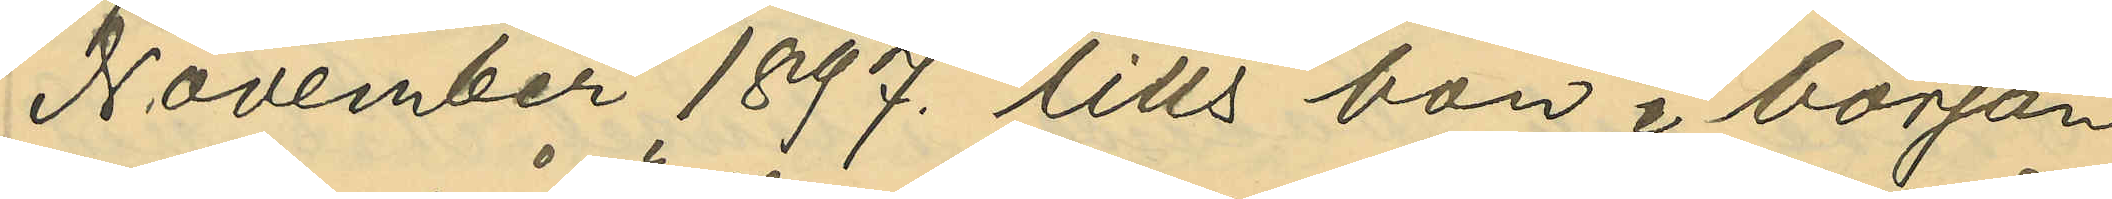November 1897. tills hon i början
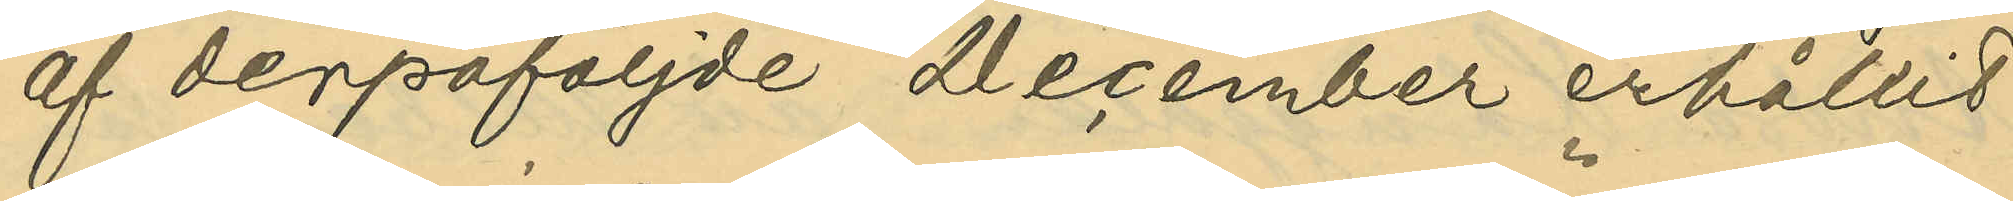af derpåföljde December erhållit
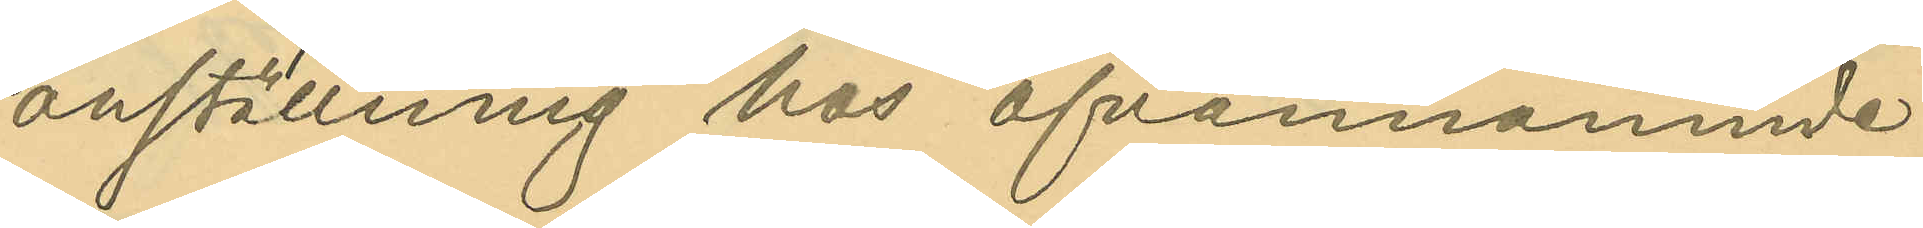anställning hos ofvannämnde
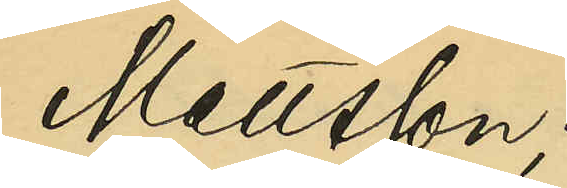Mattsson;
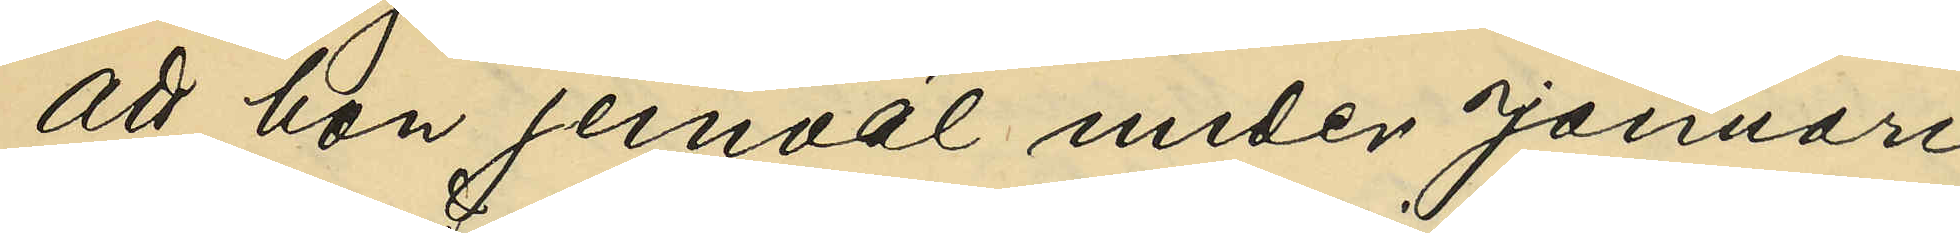att hon jemväl under Januari
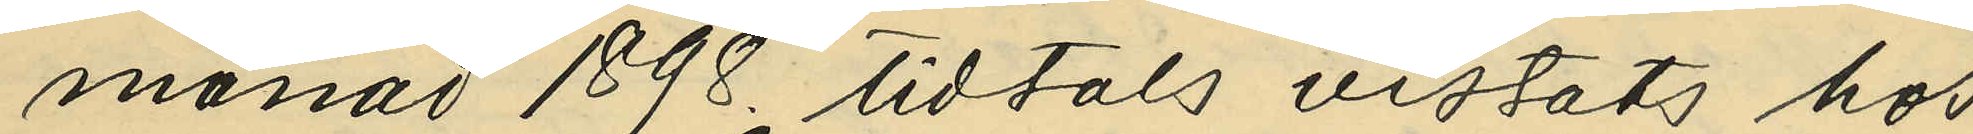månad 1898 tidtals vistats hos
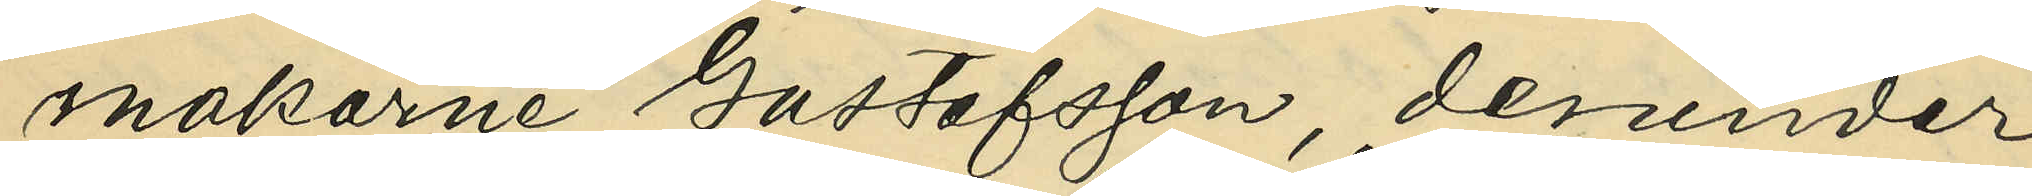makarne Gustafsson, derunder
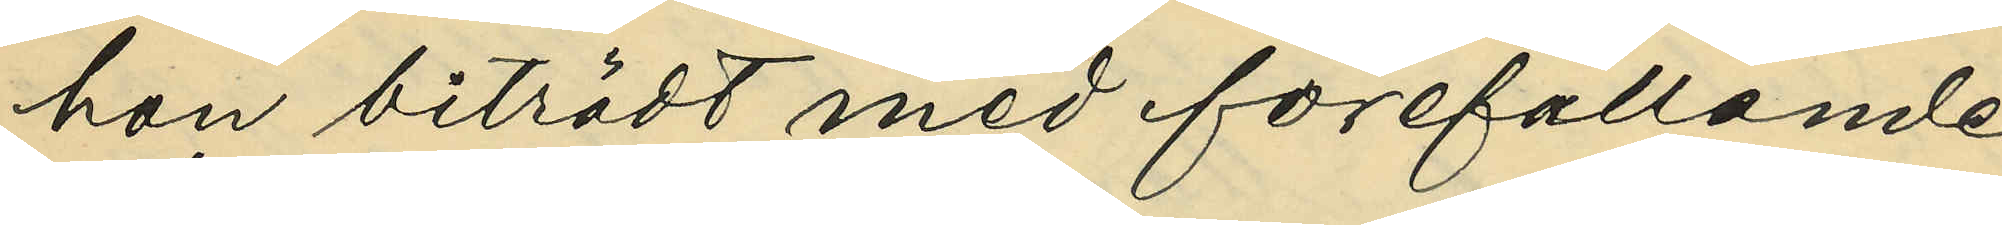hon biträtt med förefallande
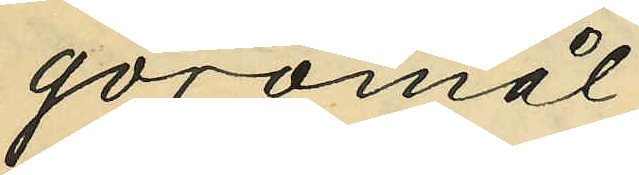göromål;
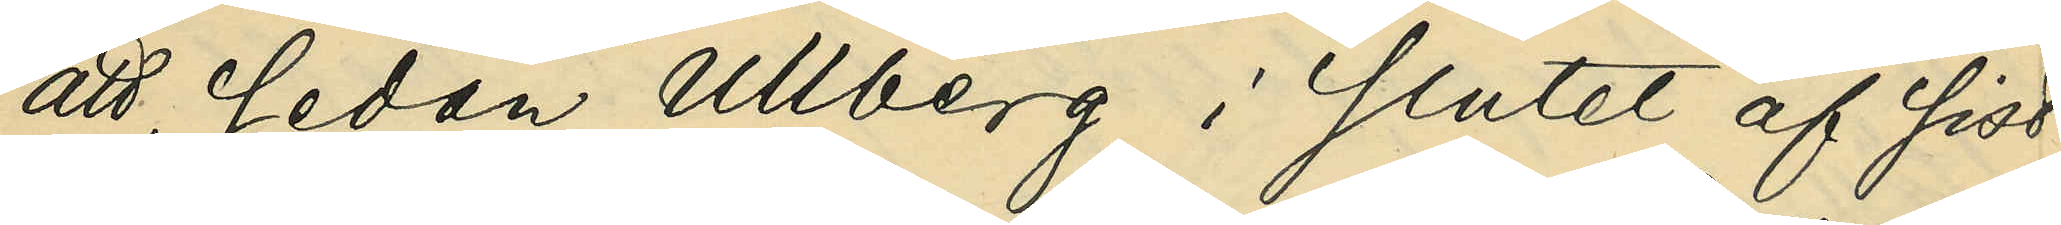att, sedan Ullberg i slutet af sist¬
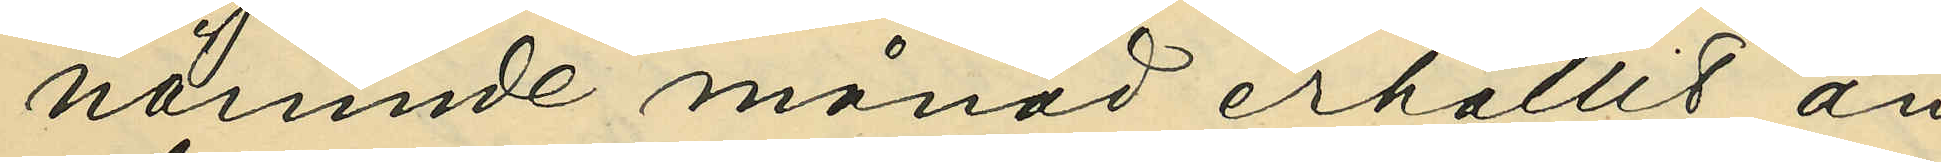nämnde månad erhållit an¬
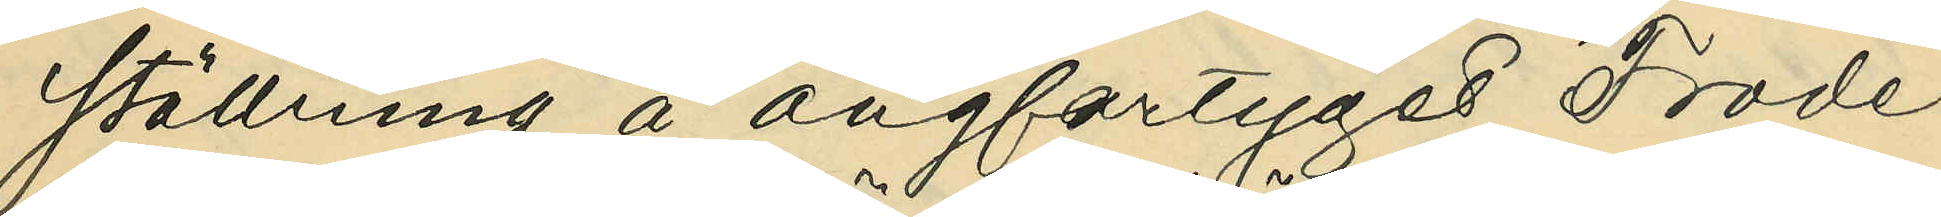ställning å ångfartyget "Frode",
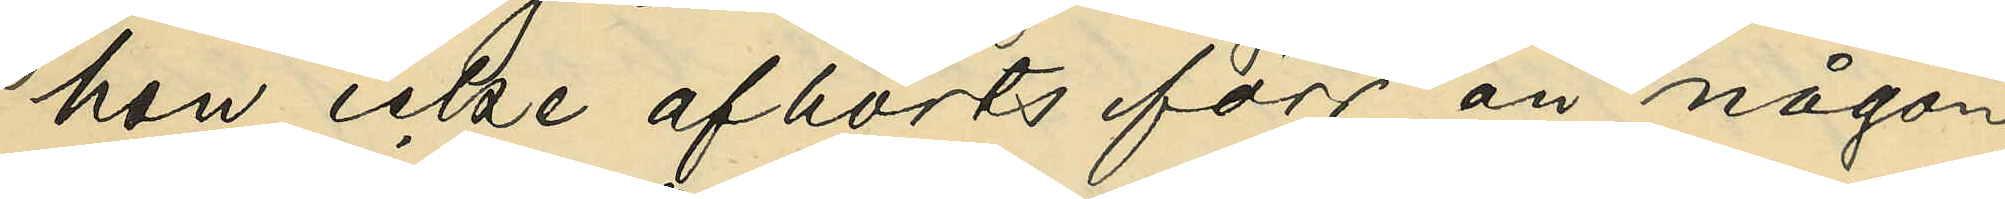hon icke afhörts förr än någon
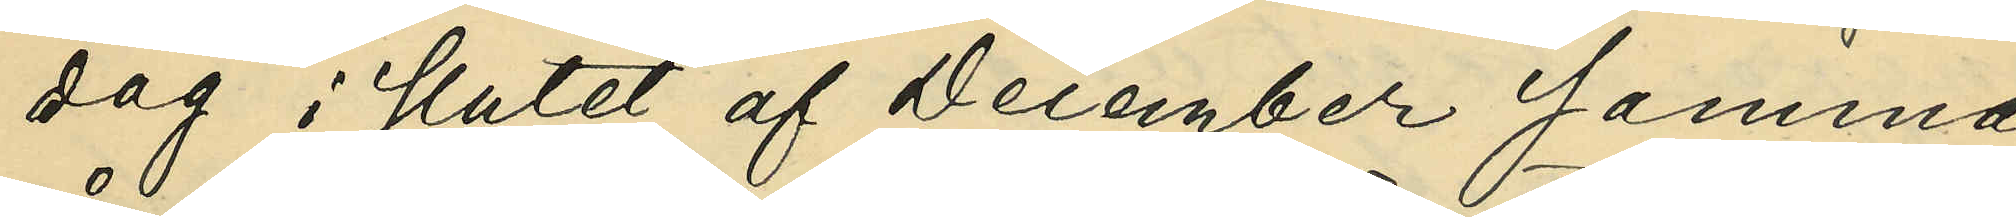dag i slutet af December samma
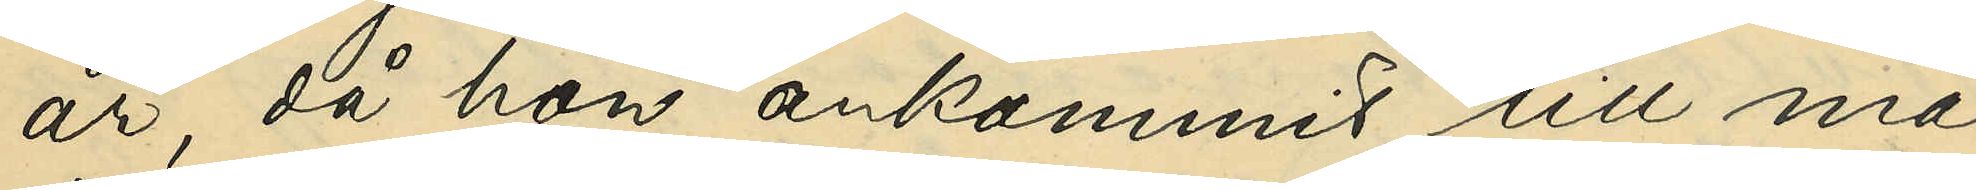år, då hon ankommit till ma¬
